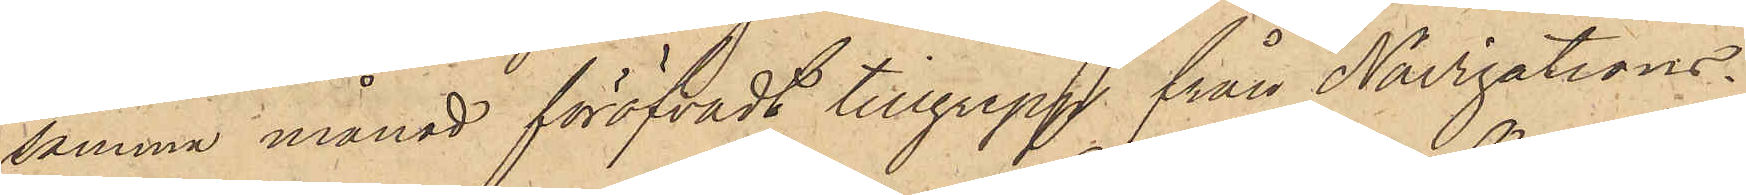samma månad föröfvadt tillgrepp från Navigations¬
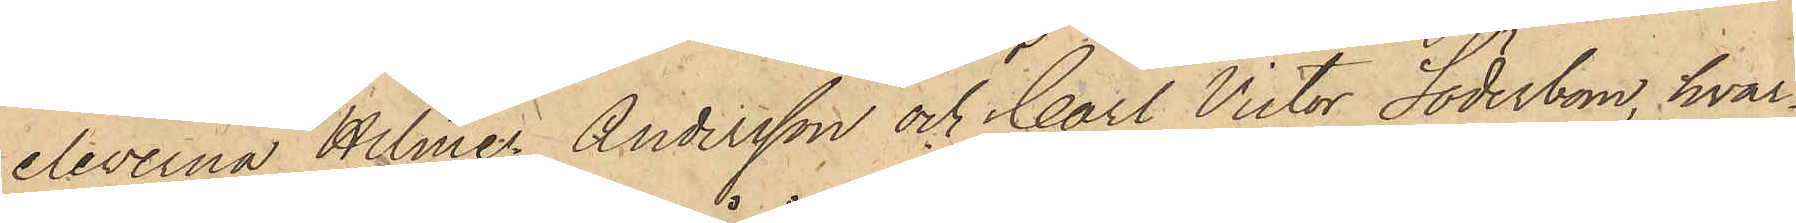eleverna Hilmer Andersson och Carl Victor Söderbom, hvar¬
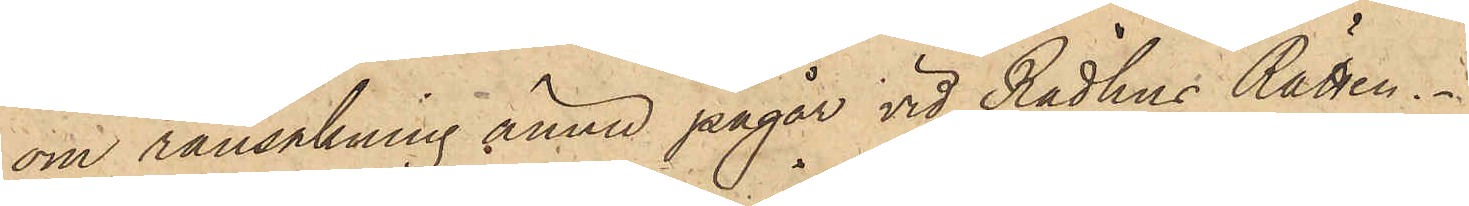om ransakning ännu pågår vid Rådhus Rätten.
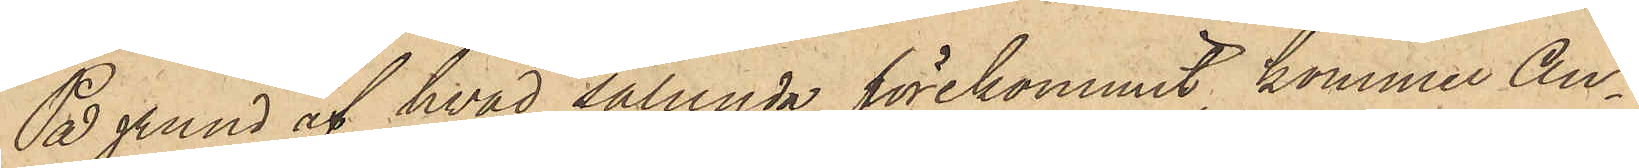På grund af hvad sålunda förekommit, kommer An¬
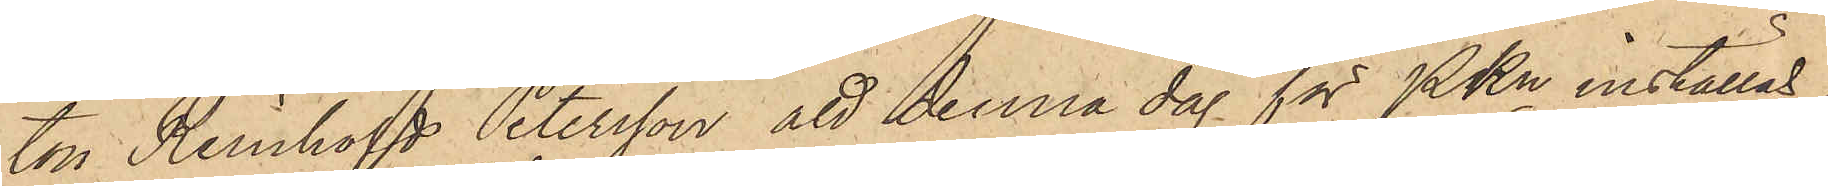ton Reinhold Petersson att denna dag för PKn inställas.
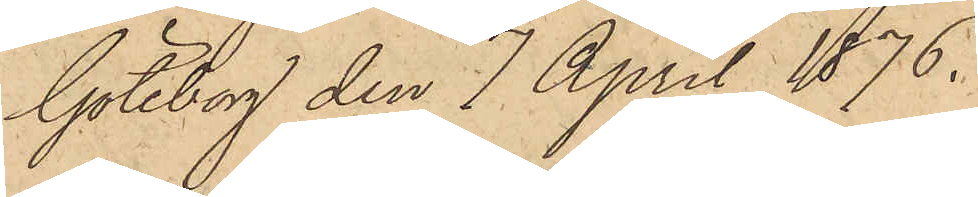Göteborg den 7 April 1876.
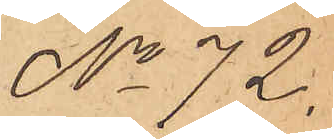No 72.
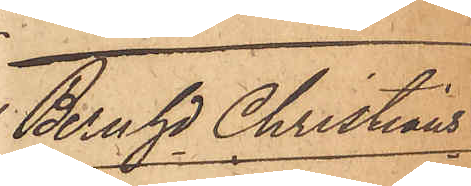Bengt Christians¬
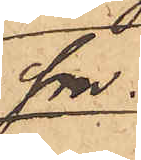son.
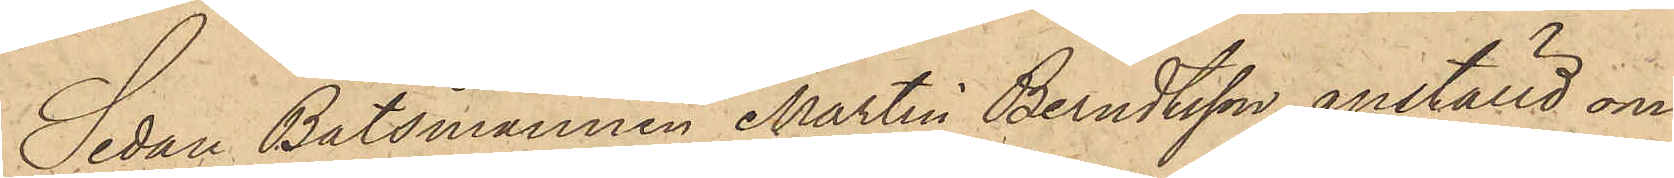Sedan Båtsmannen Martin Berndtsson, anställd om¬
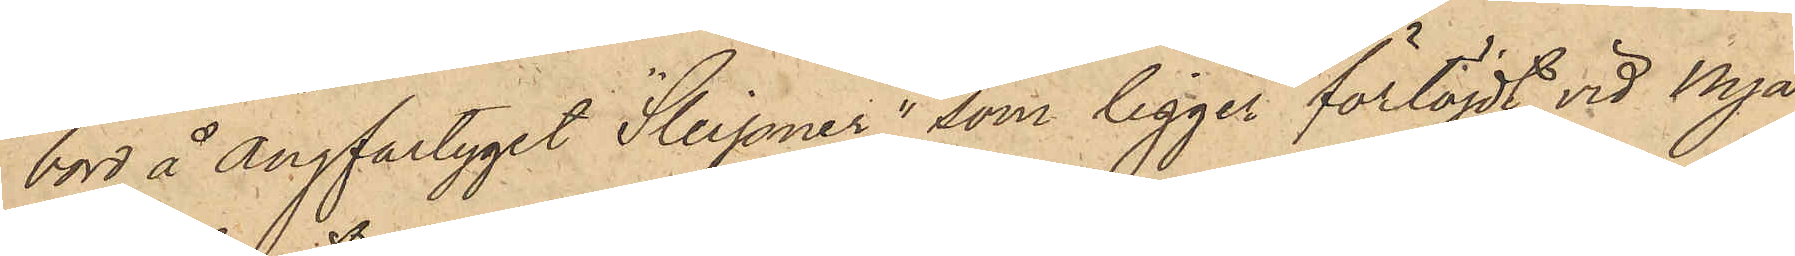bord å ångfartyget "Sleipner", som ligger förtöjdt vid Nya
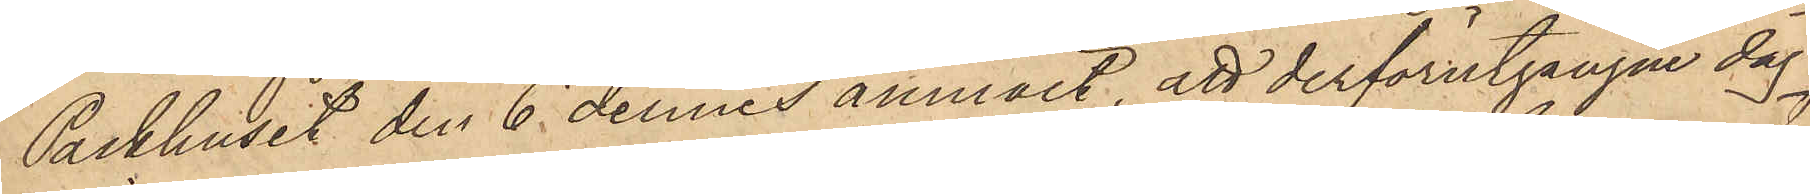Packhuset den 6 dennes anmält, att derförutgångne dag
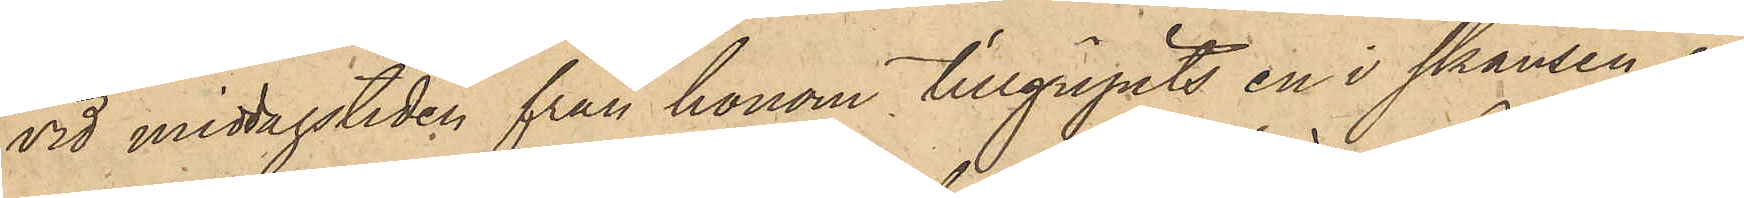vid middagstiden från honom tillgripits en i skansen å
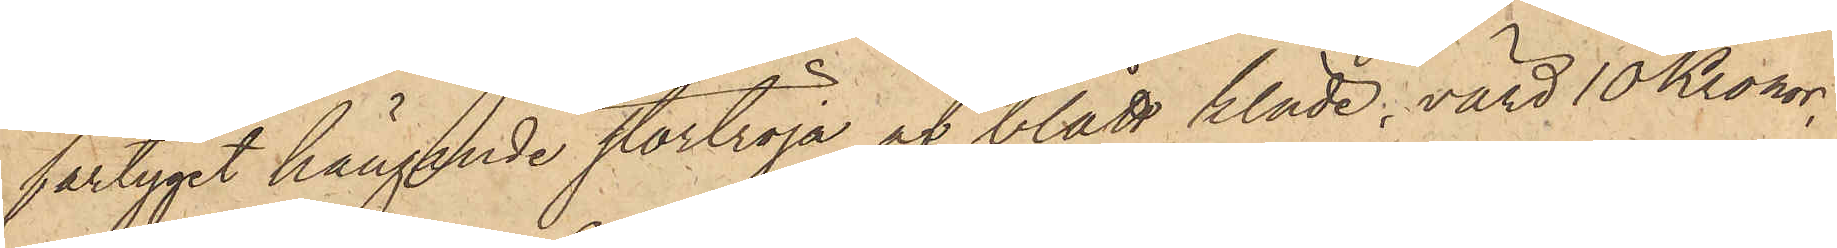fartyget hängande stortröja af blått kläde, värd 10 Kronor,
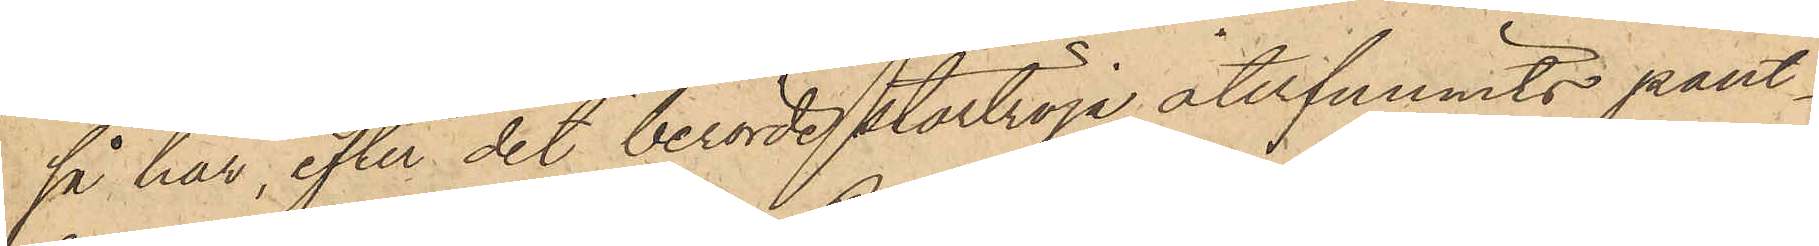så har, efter det berörde stortröja återfunnits pant¬
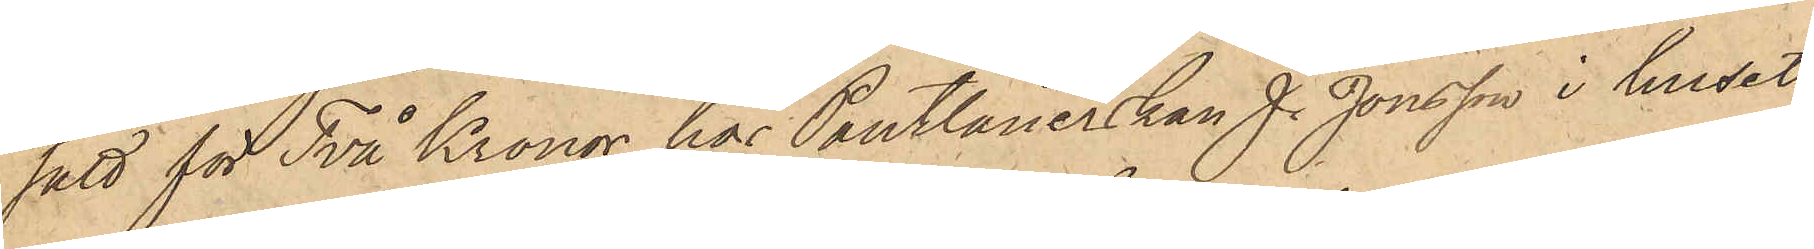satt för Två Kronor hos Pantlånerskan J. Jonsson i huset
